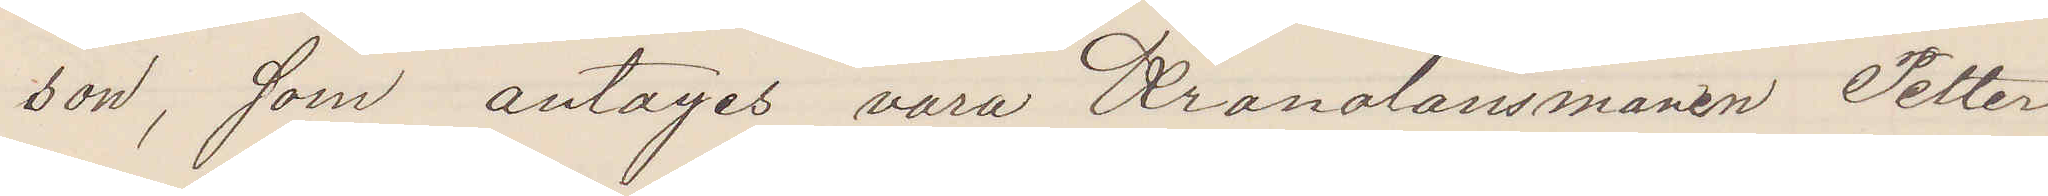son, som antages vara Kronolänsmannen Petter
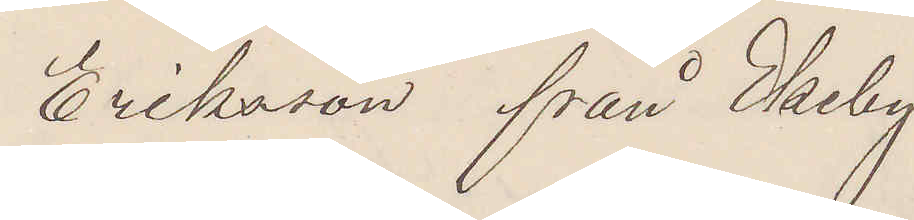Eriksson från Ekeby.
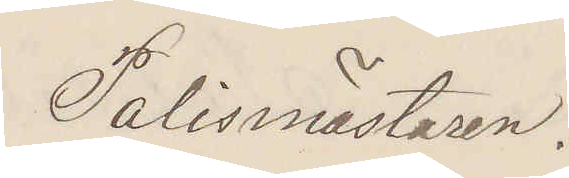Polismästaren.
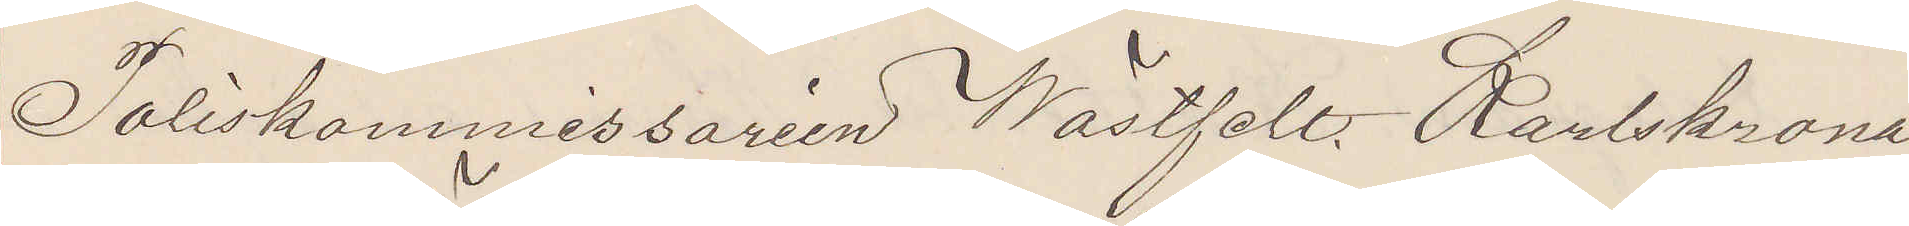Poliskommissarien Wästfelt Karlskrona.
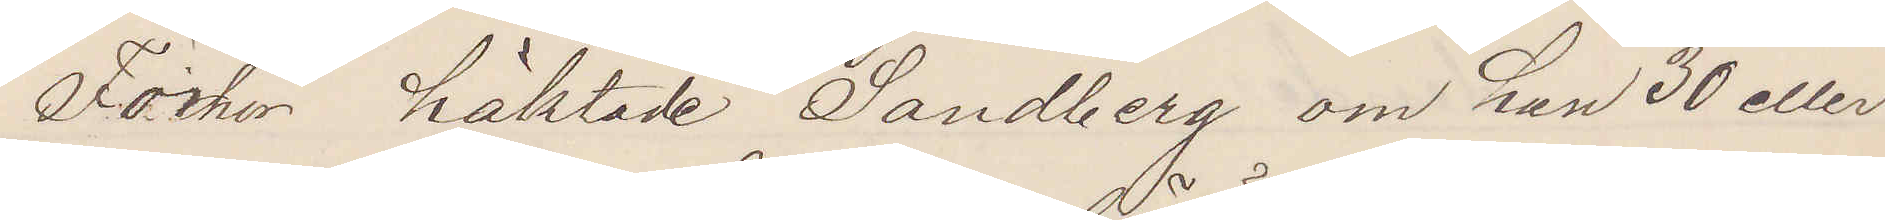Förhör häktade Sandberg om han 30 eller
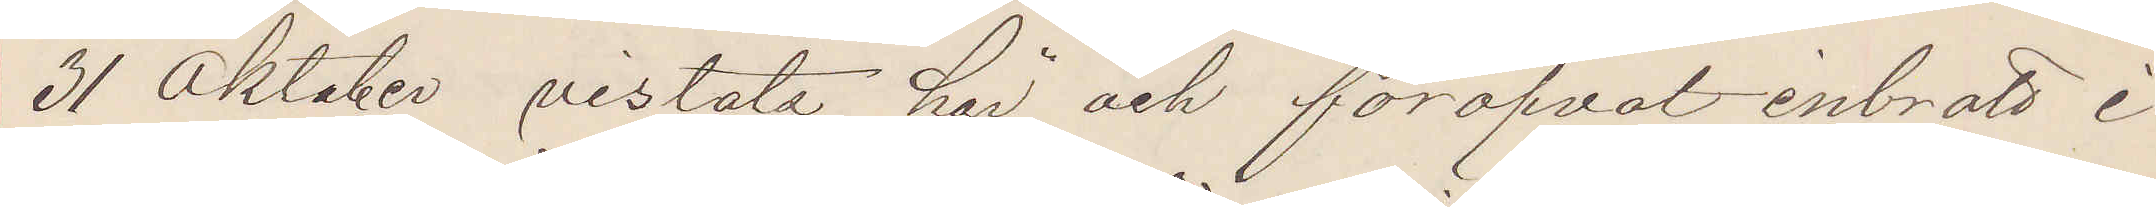31 Oktober vistats här och föröfvat inbrott i
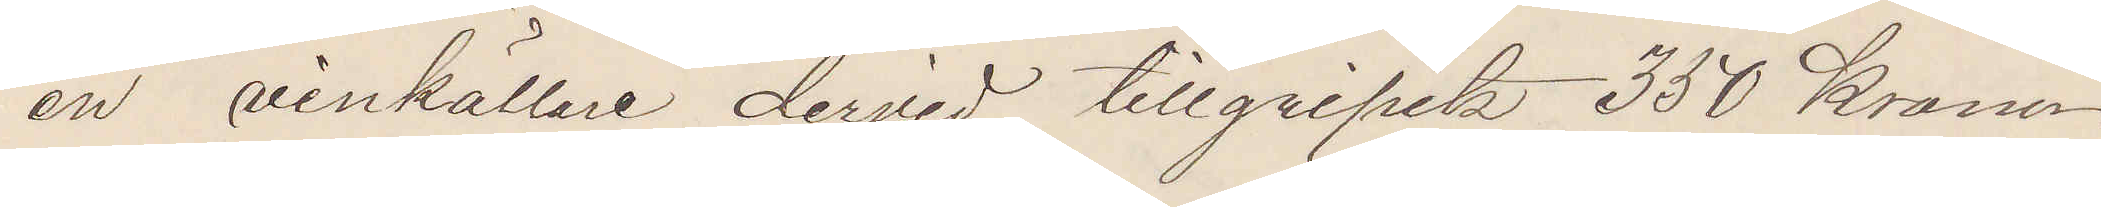en vinkällare dervid tillgripits 350 Kronor
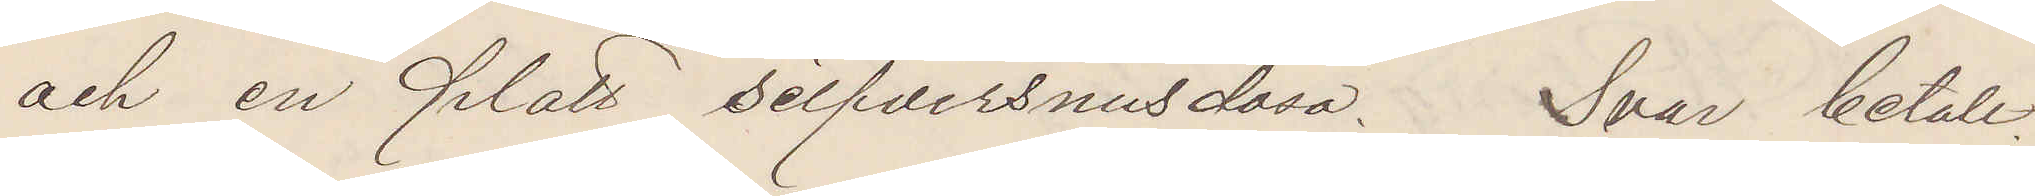och en platt silfversnusdosa. Svar betalt.
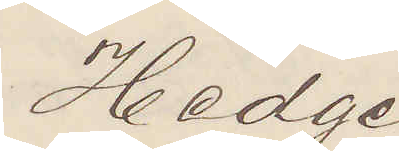Hedge
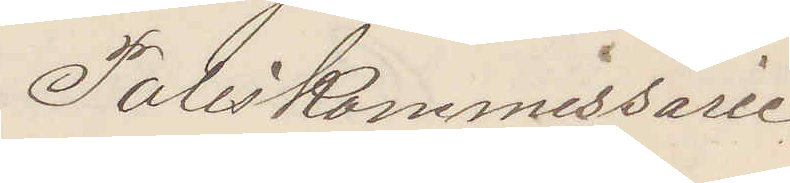Poliskommissarie
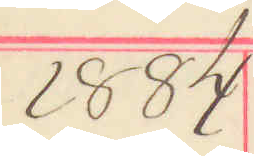1884
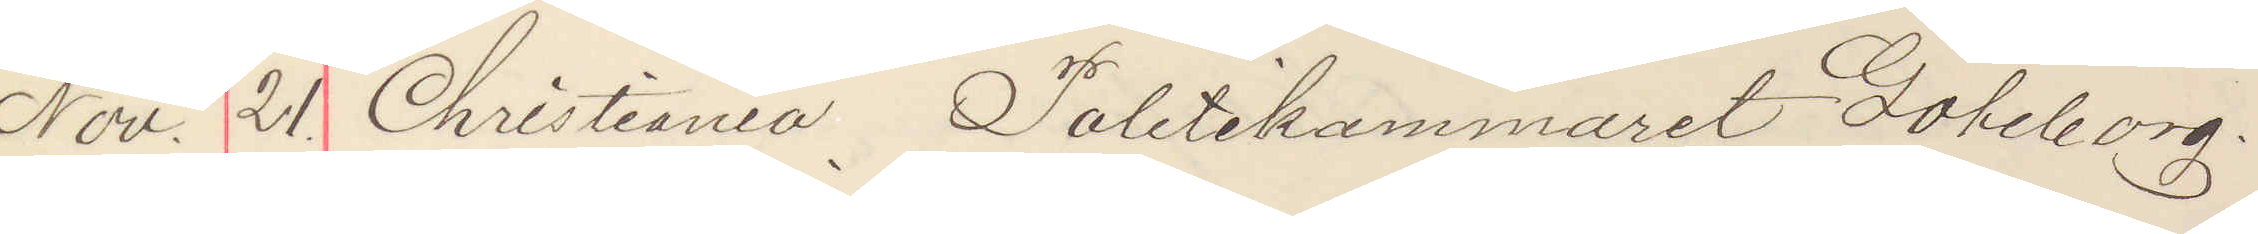Nov. 21. Christiania Politikammeret Göteborg.
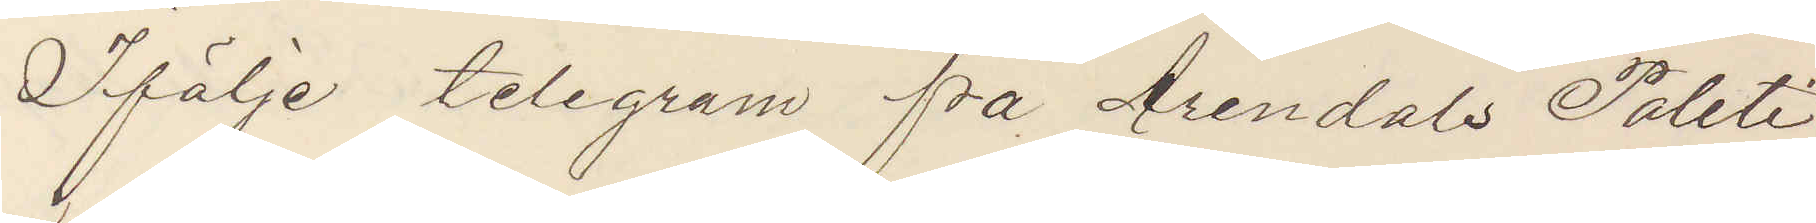Ifölje telegram fra Arendals Politi¬
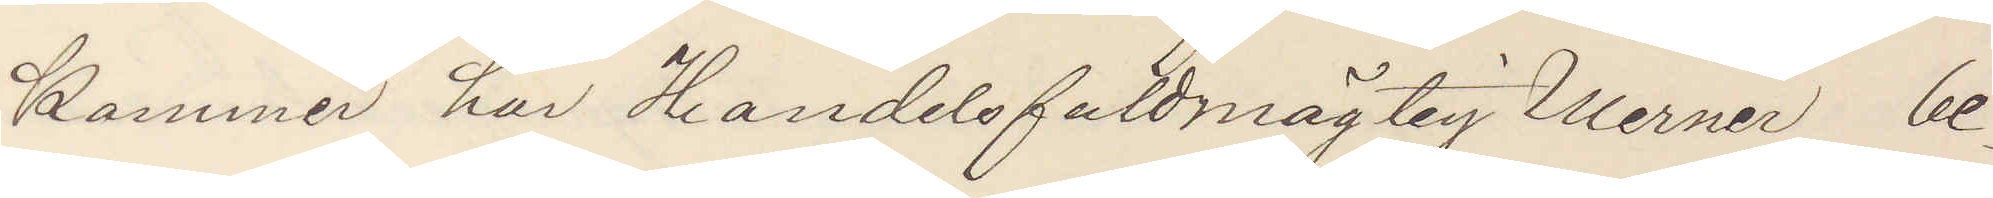Kammer har Handelsfuldmägtig Werner be¬
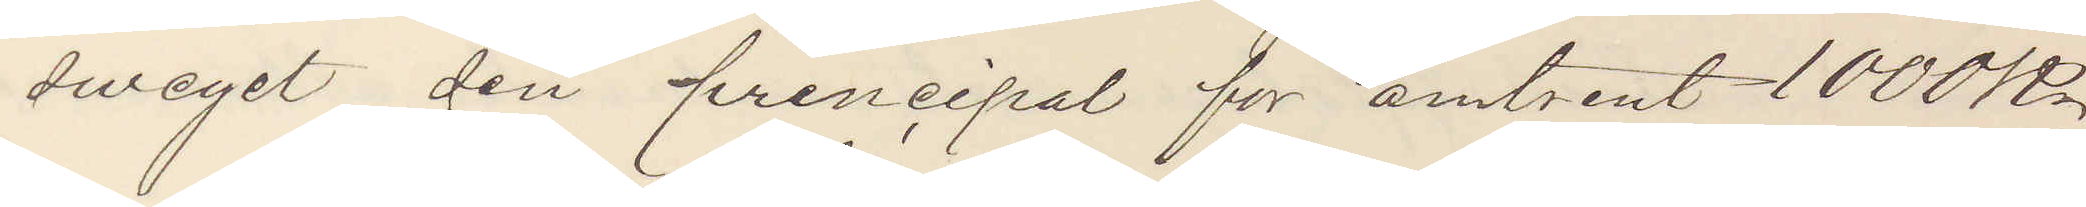sweget sin principal for amtrent 1000 Kr
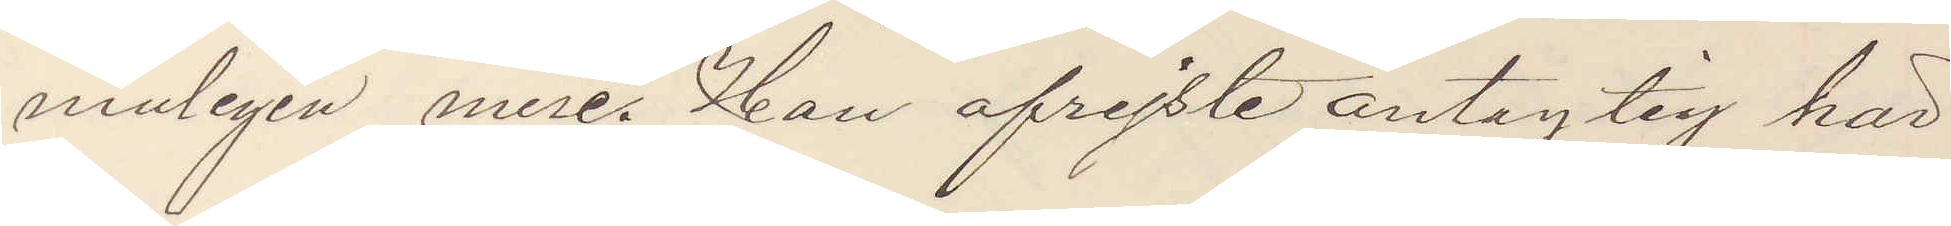muligen mere. Han afreiste antaglig här¬
